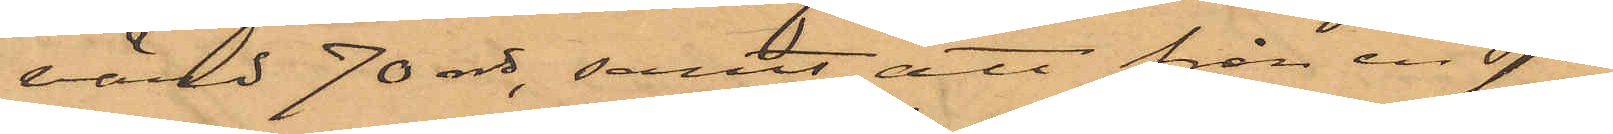värd 70 rdr, samt att från en sjö¬
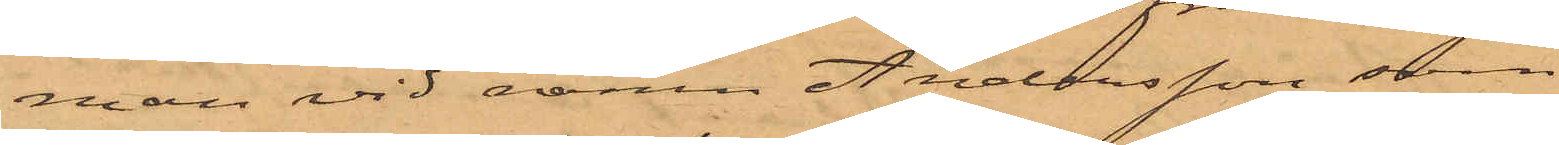man vid namn Andersson som
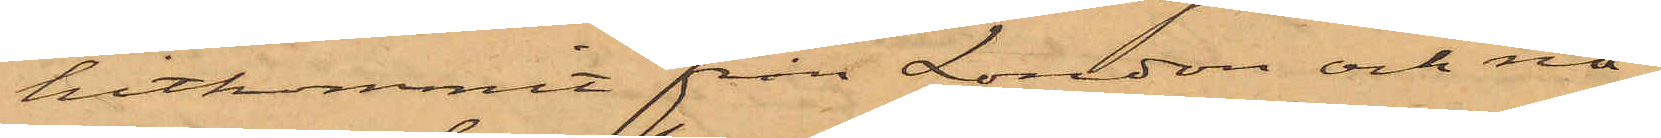hitkommit från London och nå¬
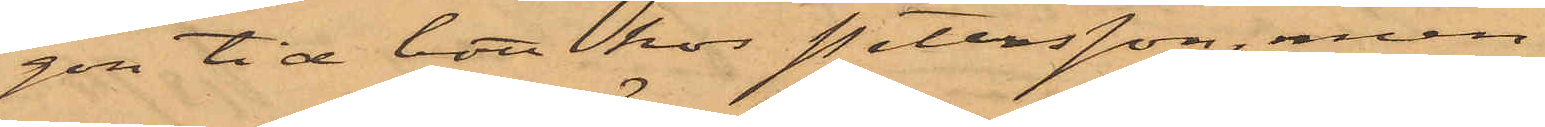gon tid bott hos Petersson, men
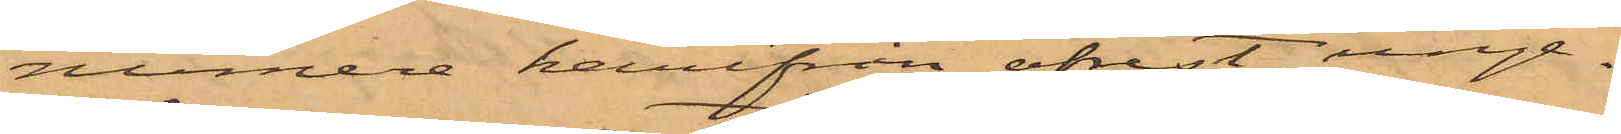numera härifrån afrest, unge¬
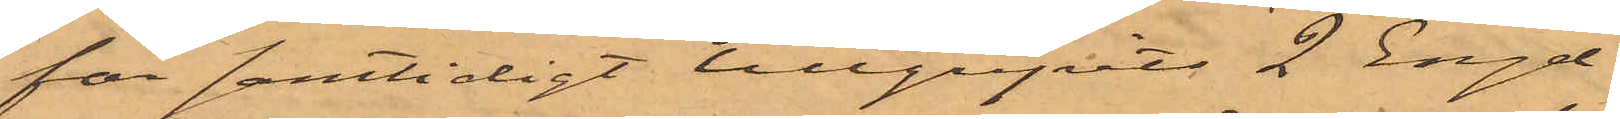fär samtidigt tillgripits 2 Engel¬
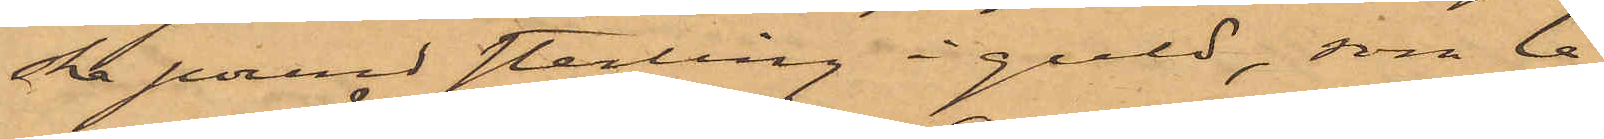ska pround sterling i guld, som le¬
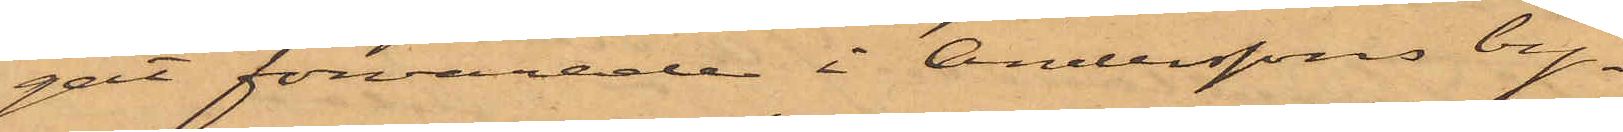gat förvarade i Anderssons by¬
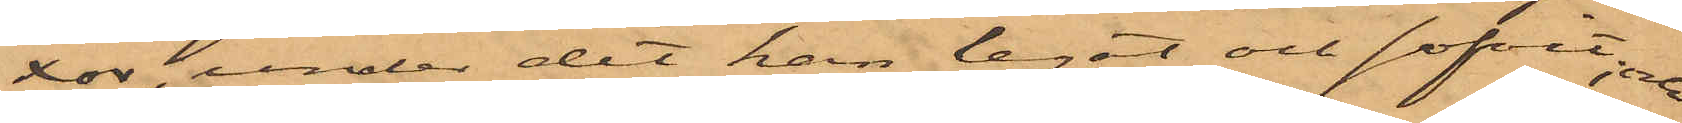xor, under det han legat och sofvit; och
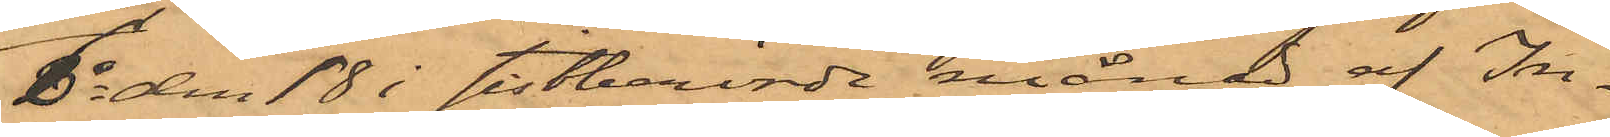6o den 18 i sistnämnde månad af In¬
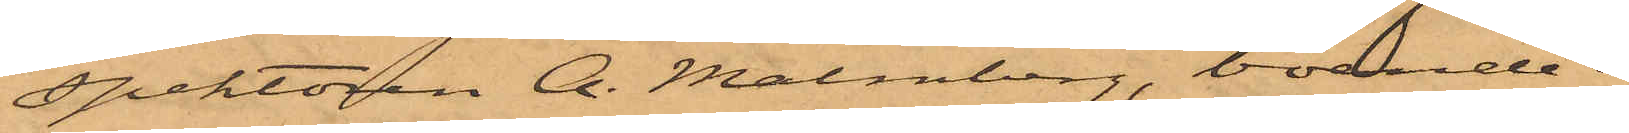spektören A. Malmberg, boende i
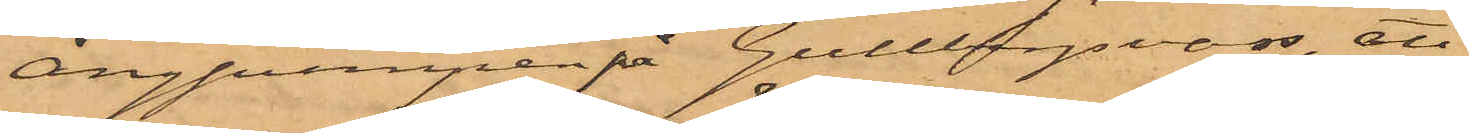Ångpumpen på Gullbergsvass, att
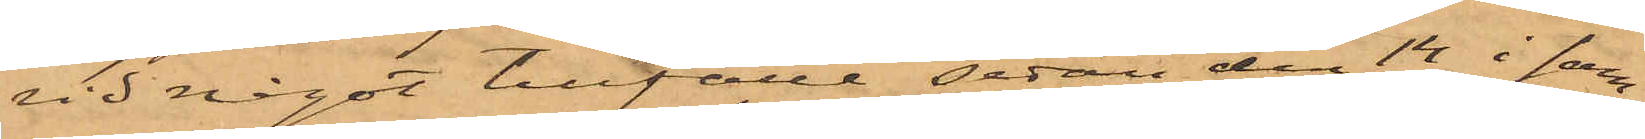vid något tillfälle sedan den 14 i sam¬
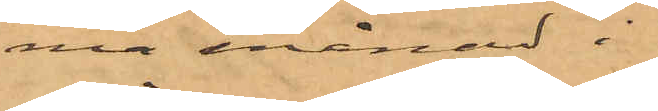ma månad i
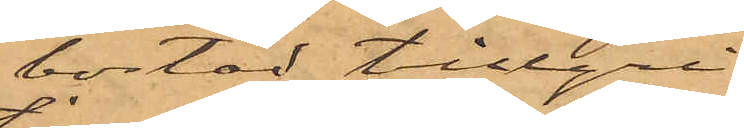bostad tillgri¬
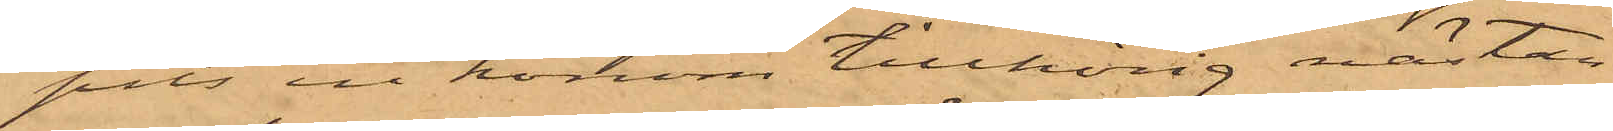pits en honom tillhörig nästan
